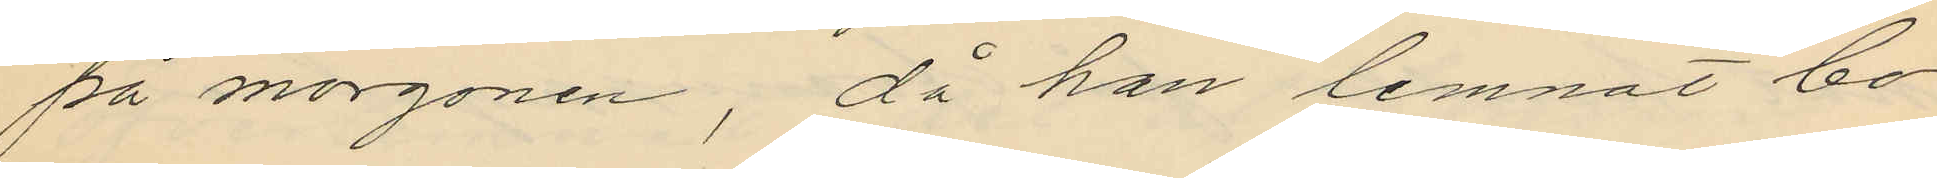på morgonen, då han lemnat bo¬
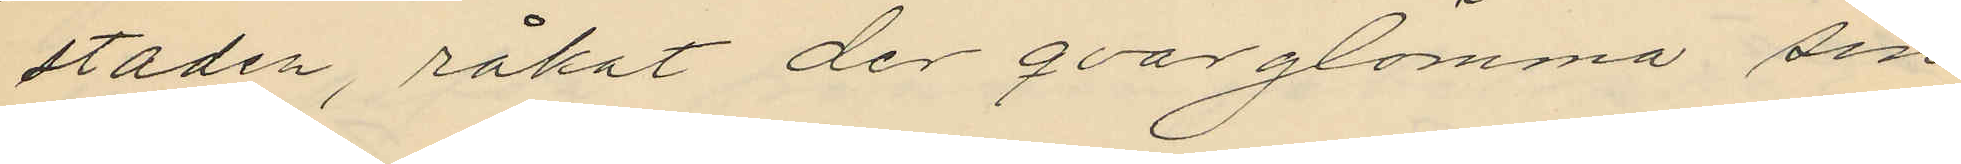staden, råkat der qvarglömma sin
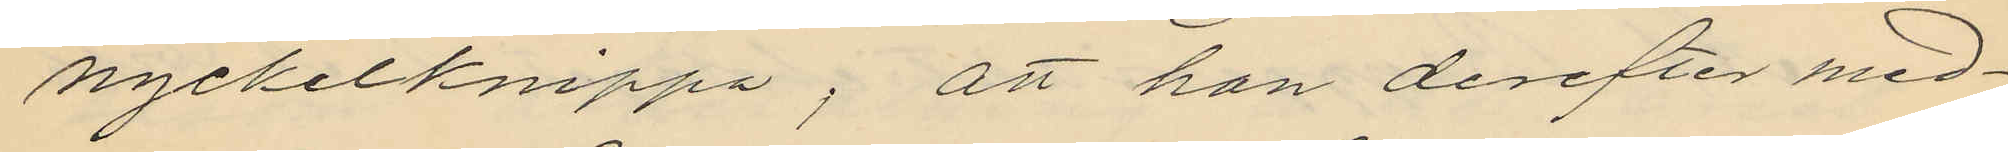nyckelknippa, att han derefter med¬
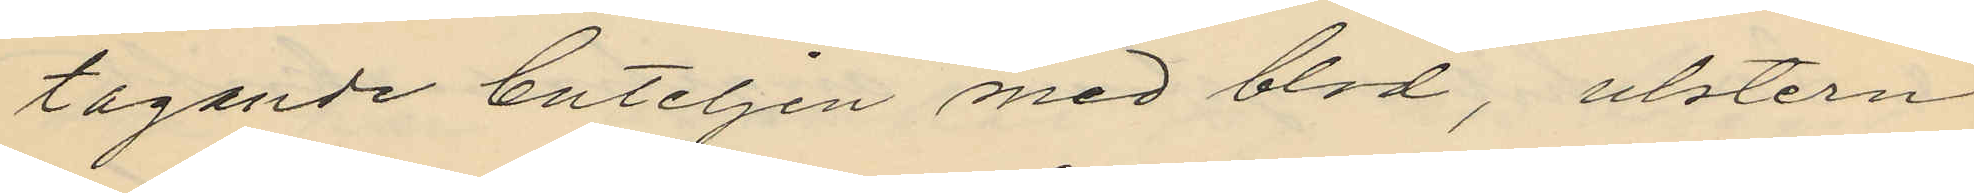tagande buteljen med blod, ulstern
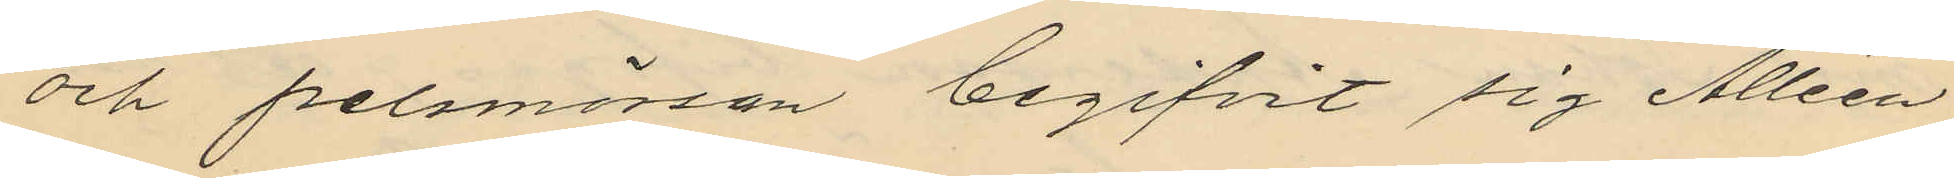och pelsmössan begifvit sig Alléen
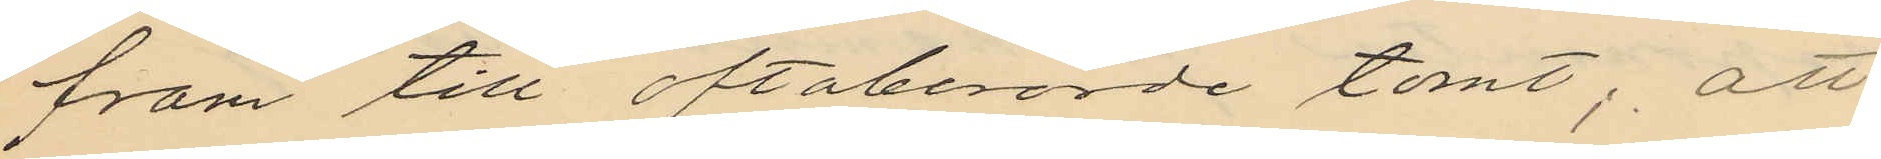fram till oftaberörde tomt; att
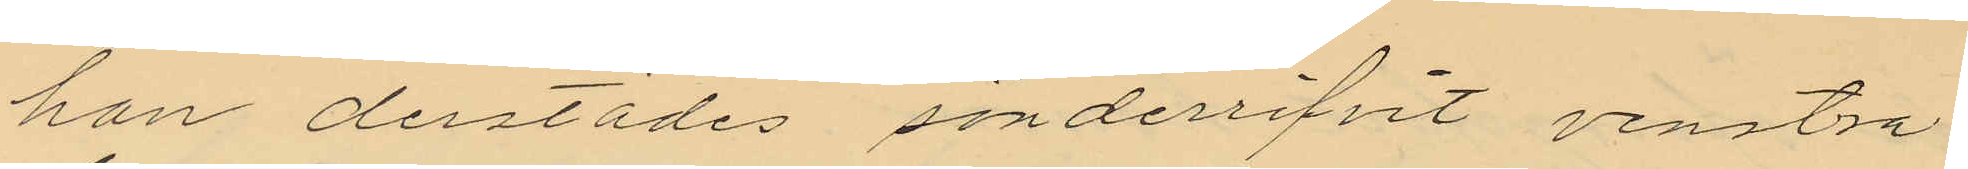han derstädes sönderrifvit venstra
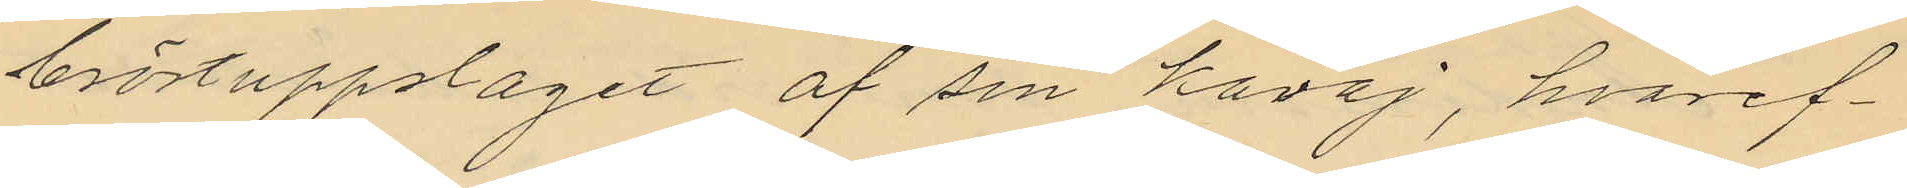bröstuppslaget af sin kavaj, hvaref¬
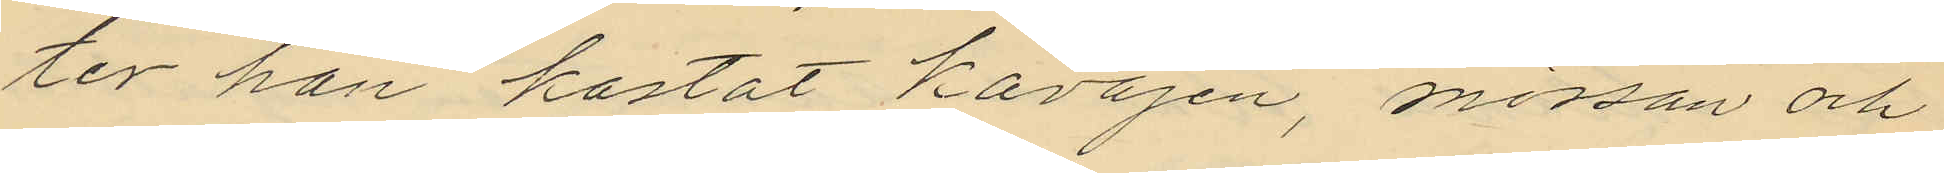ter han kastat kavajen, mössan och
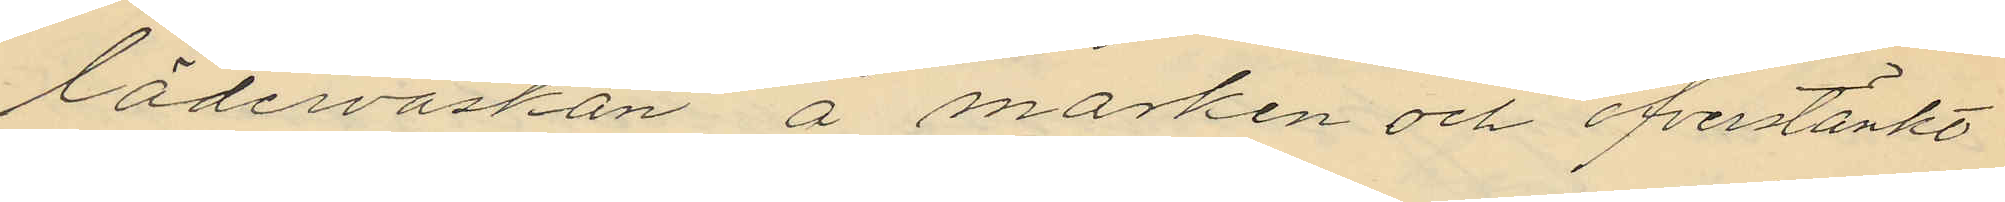läderväskan å marken och öfverstänkt
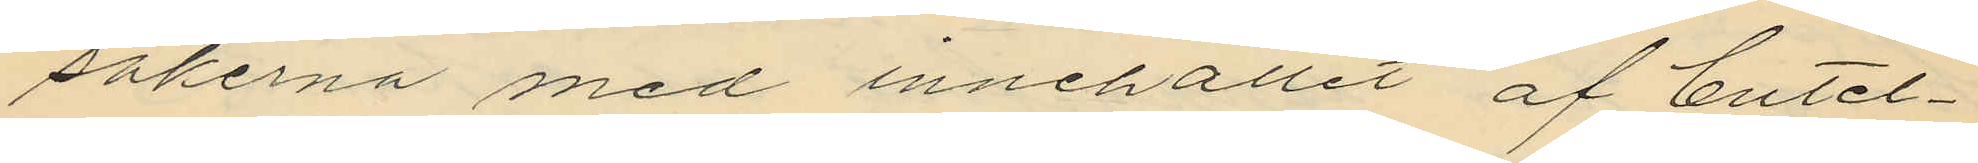sakerna med innehållet af butel¬
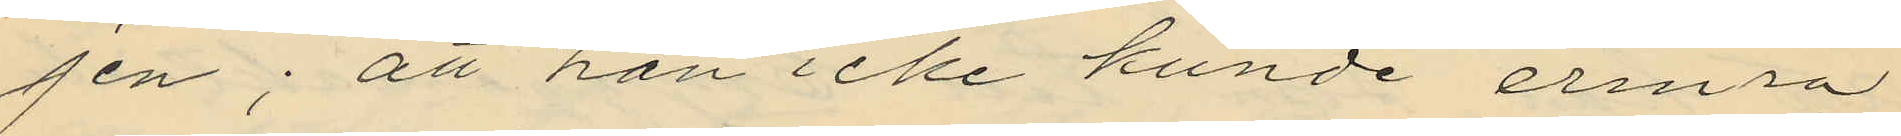jen; att han icke kunde erinra
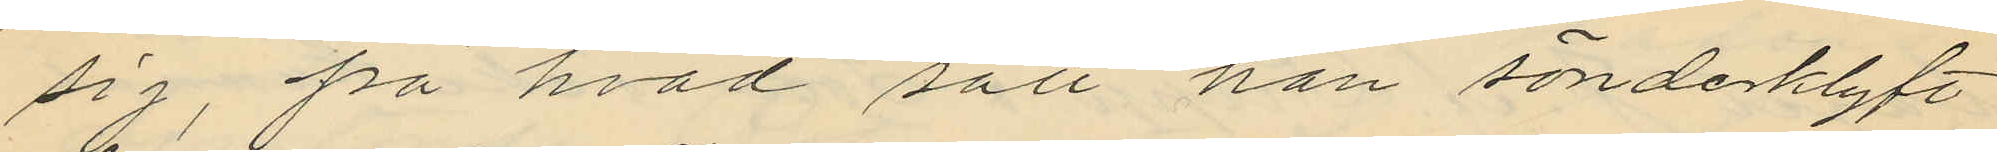sig, på hvad sätt han sönderklyft
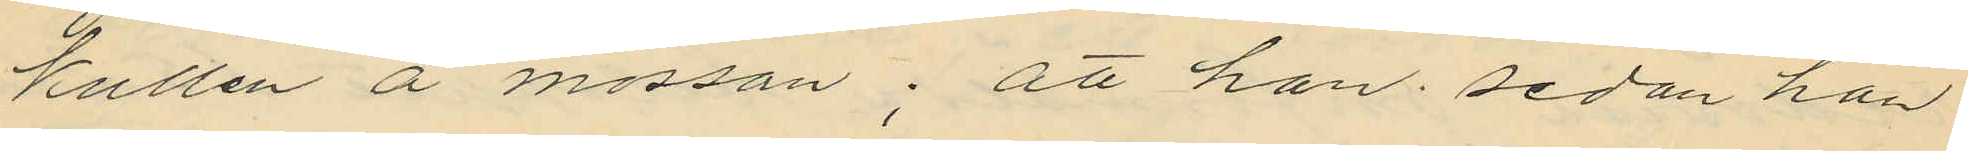kullen å mössan; att han sedan han
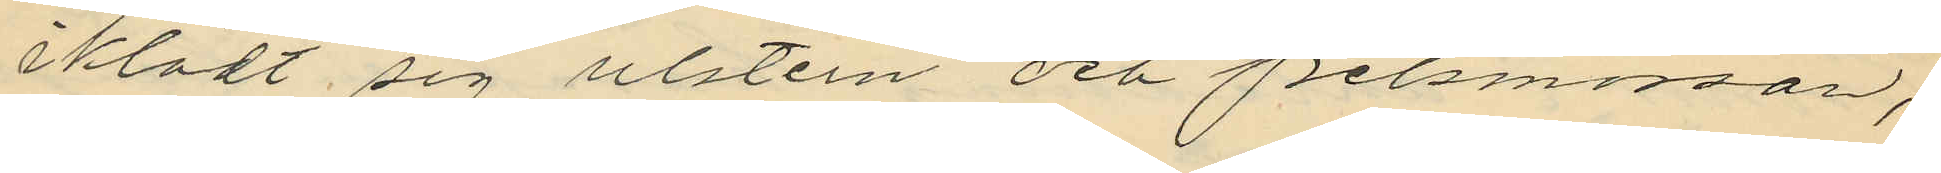iklädt sig ulstern och pelsmössan,
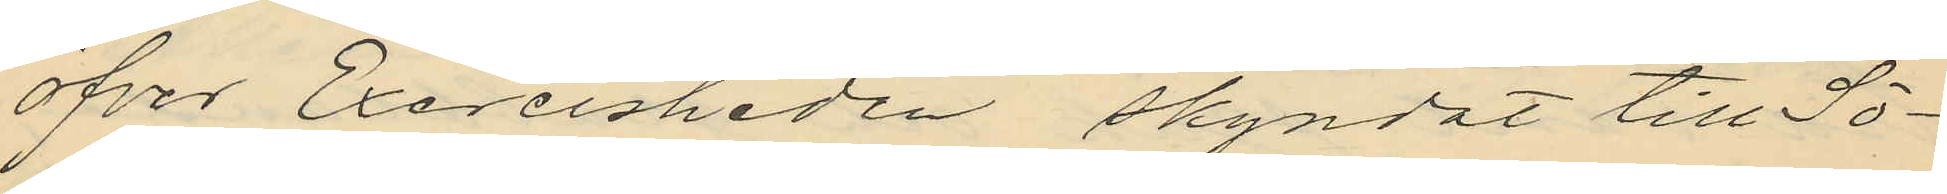öfver Exercisheden skyndat till Sö¬
